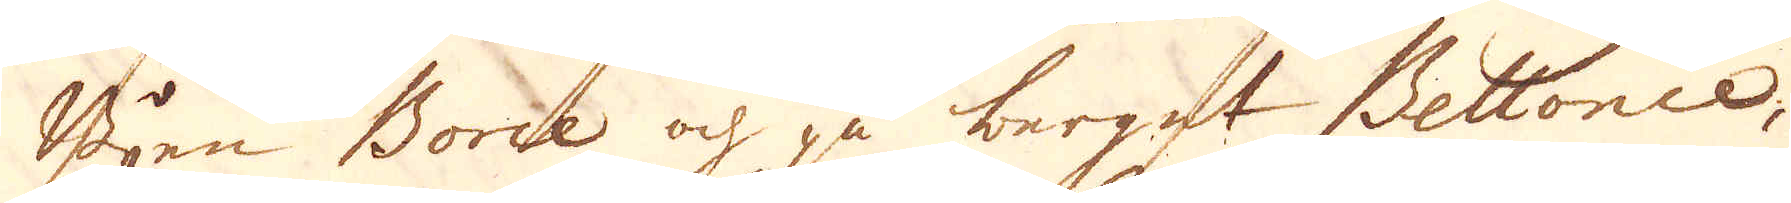Byen Borce och på berget Bellonce,
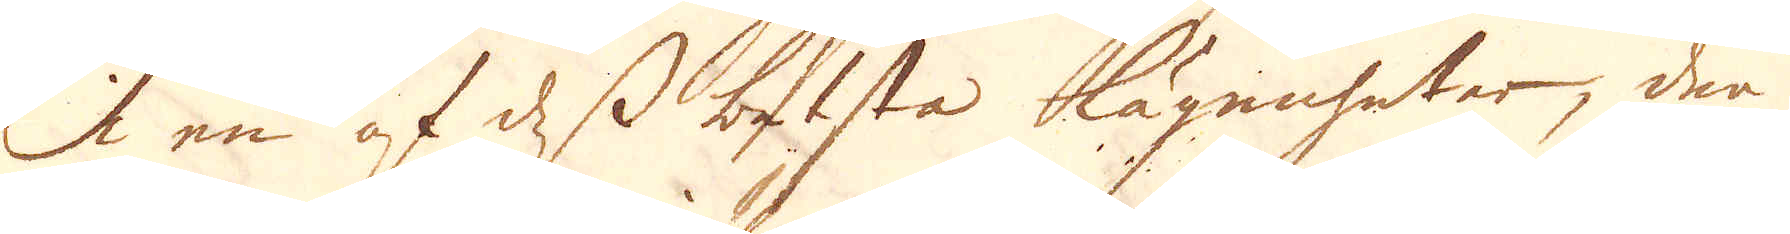i en af dess betsta lägenheter, den
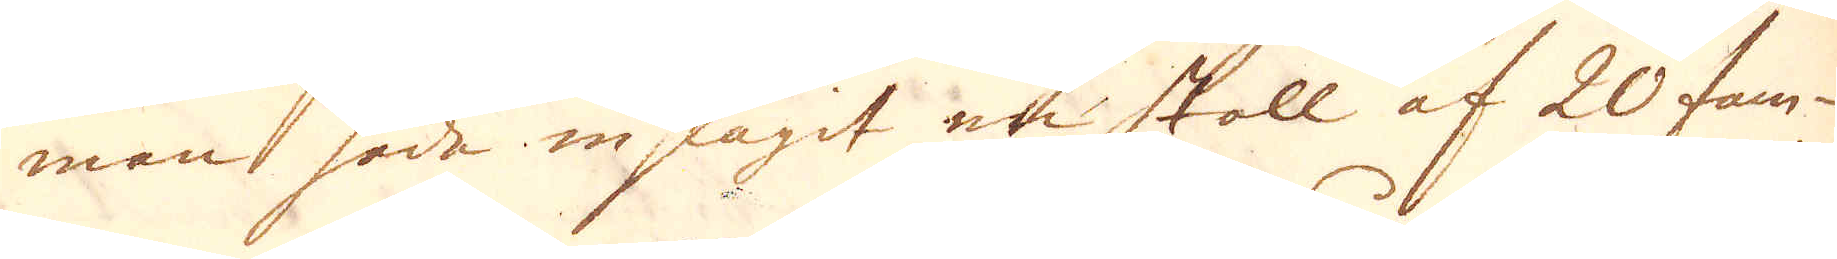man hade inlaget en stoll af 20 fam-
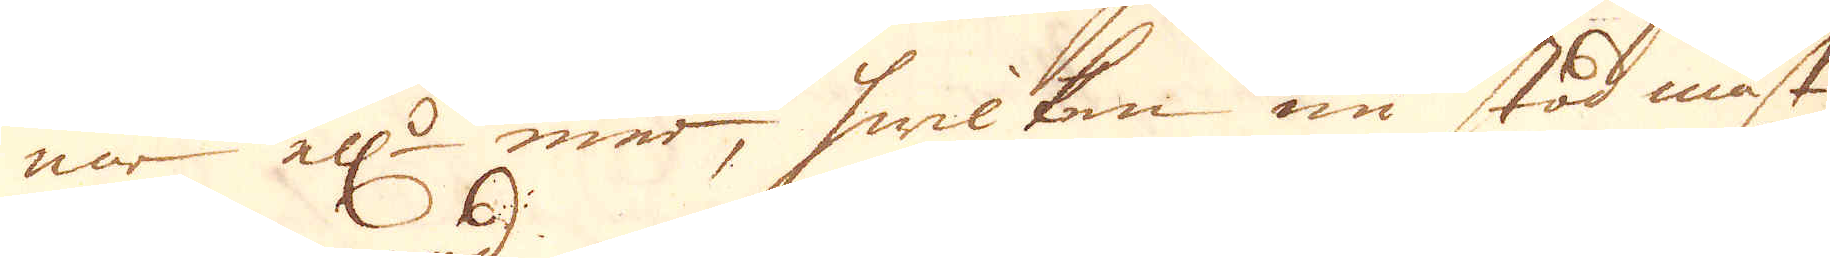nar ell:r mer, hwilken nu stod mäst
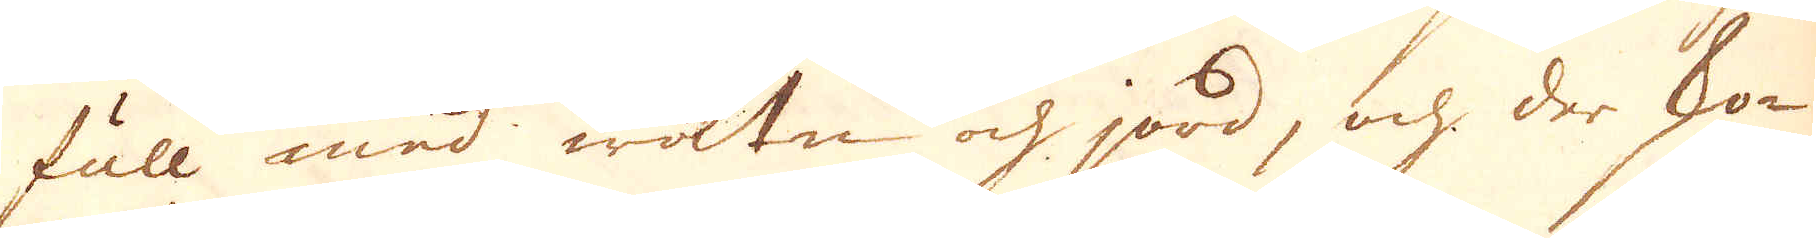full med watn och jord, och der sko-
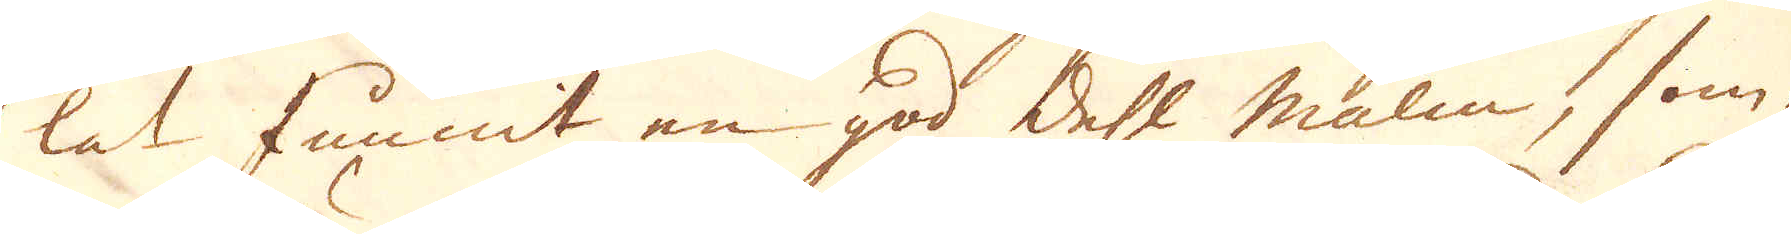lat funnit en god dehl malm, som-
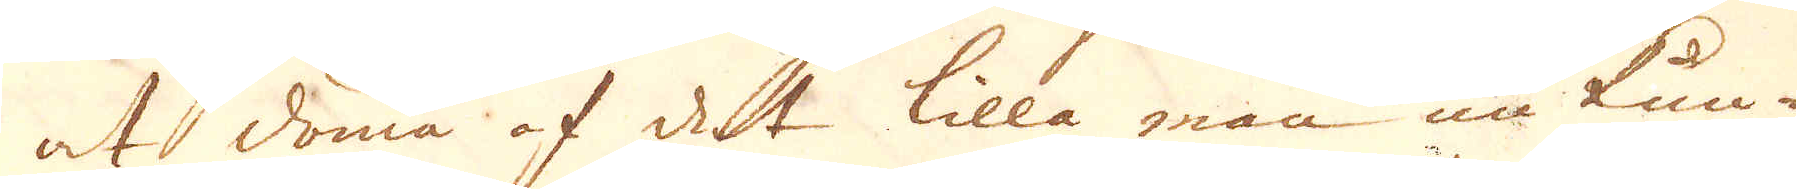at döma af det lilla man nu kun-
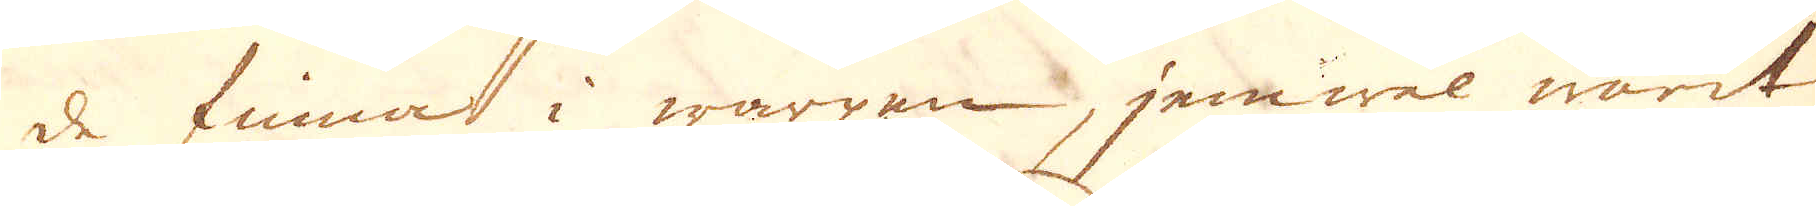de finna i warpen, jemwäl warit
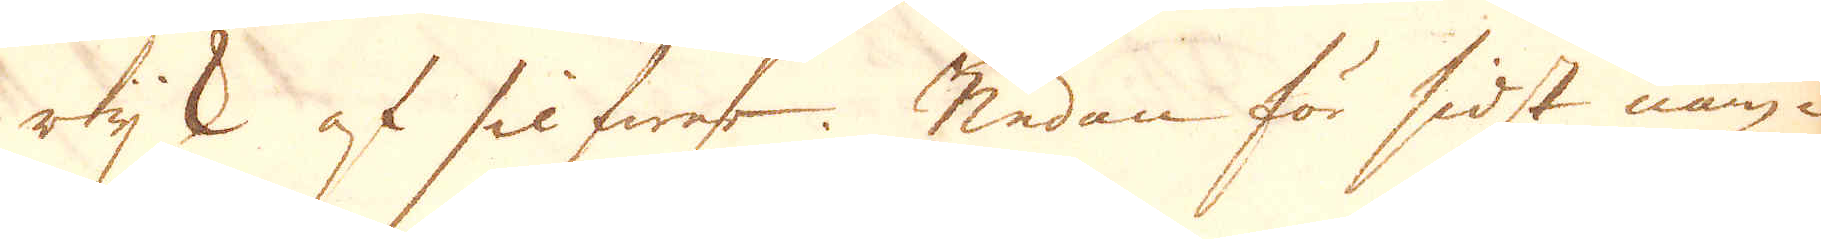rijk af silfwer. Nedan för sidst näm-
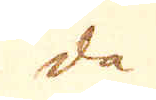da
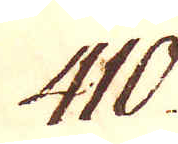410.
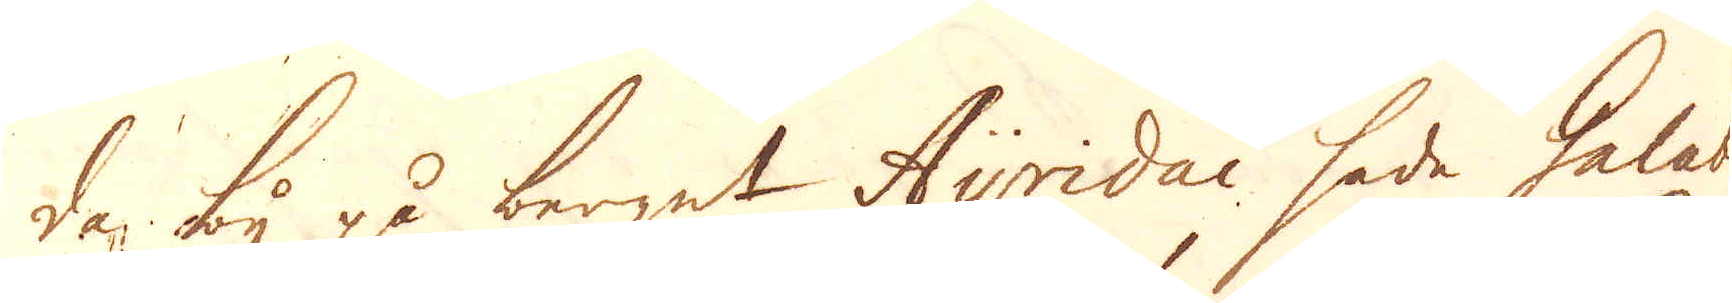da by på berget Ayridai hade Galabin
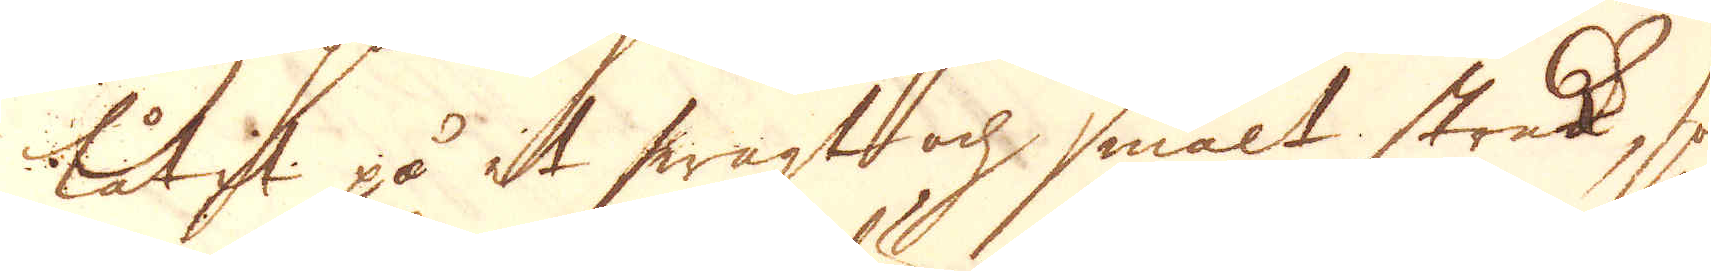låtit på et swagt och smalt streck, sa
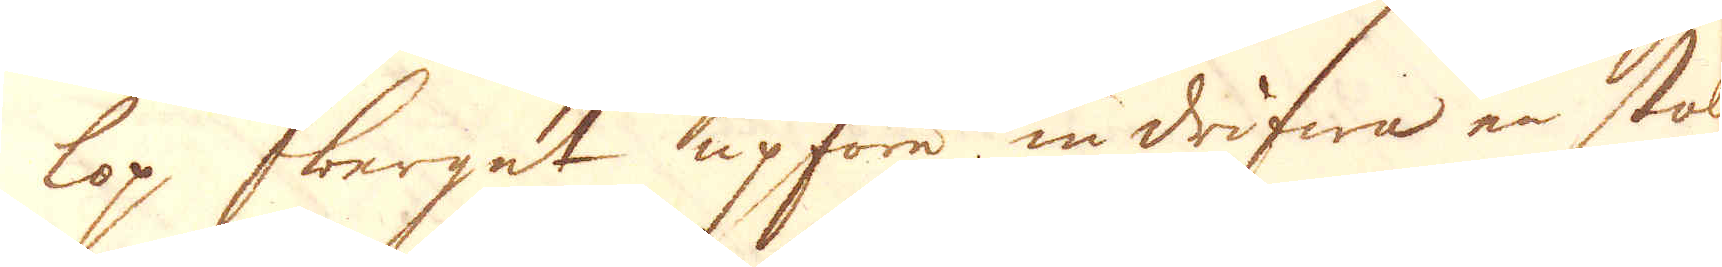lop berget upföre indrifwa en stoll
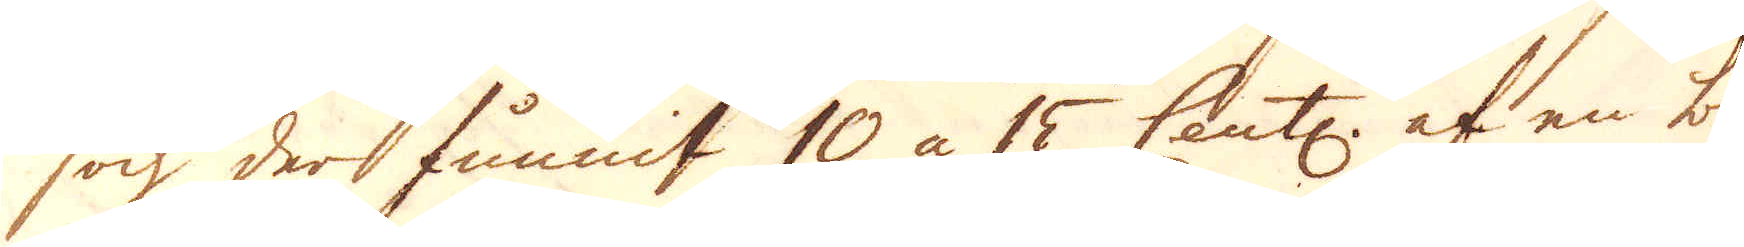och der funnit 10 à 15 Cent: af en blå-
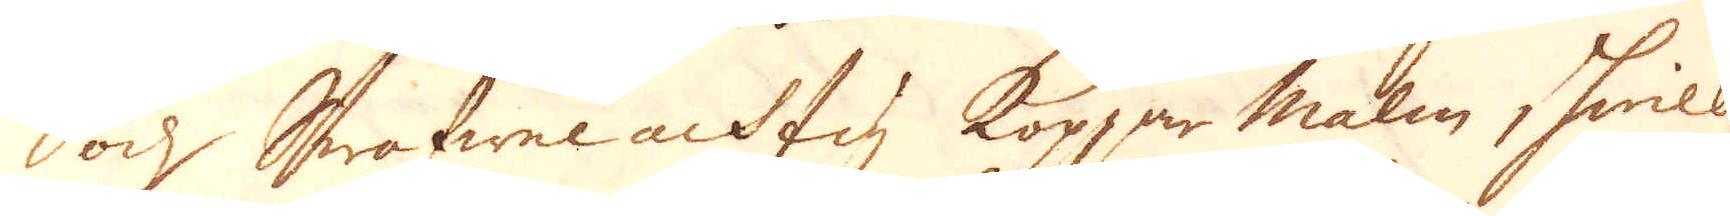och Swafwelachtig Koppar malm, hwilken
